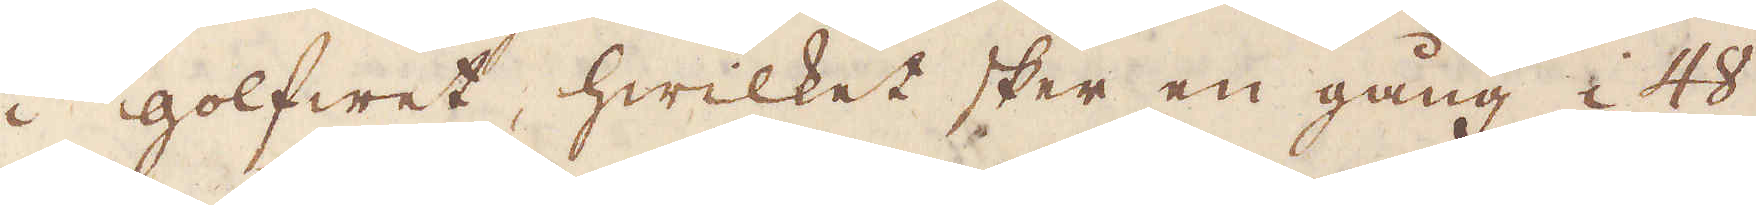i golfwet, hwilket sker en gång i 48
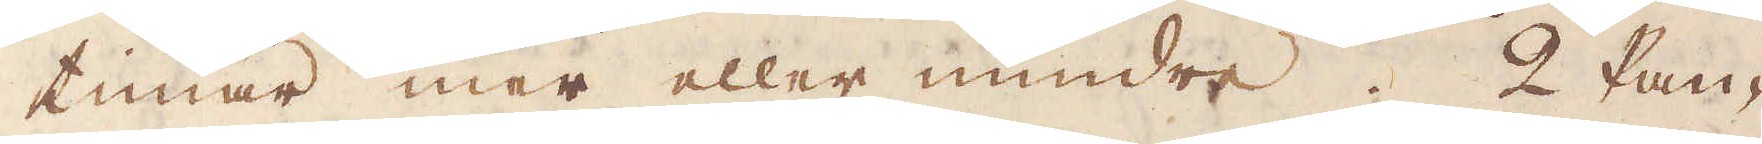timar mer eller mindre. 2 Pan-
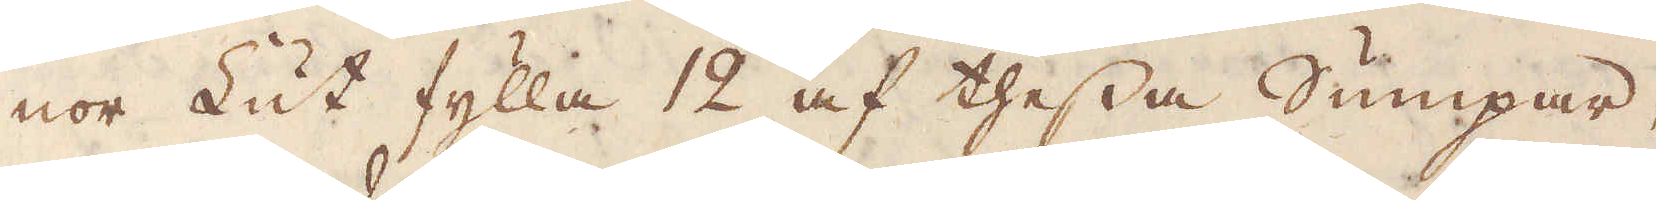nor Lut fylla 12 af thessa Sumpar,
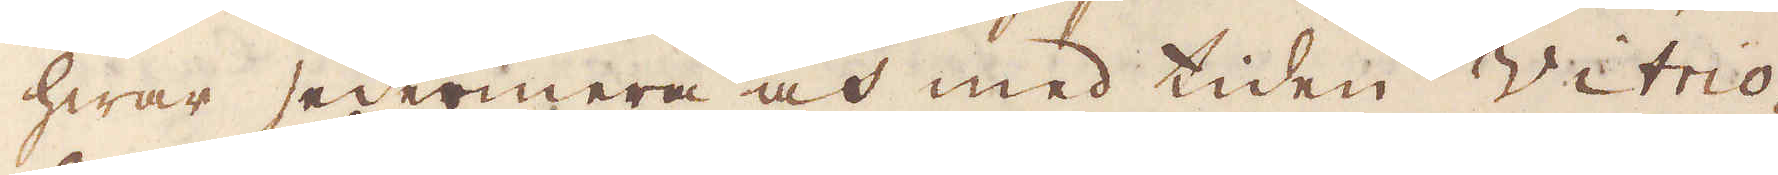hwar sedermera och med tiden Vitrio-
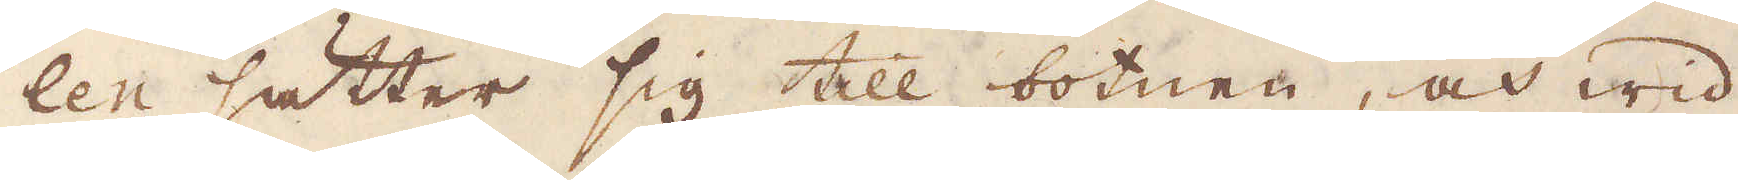len sätter sig till botnen, och wid
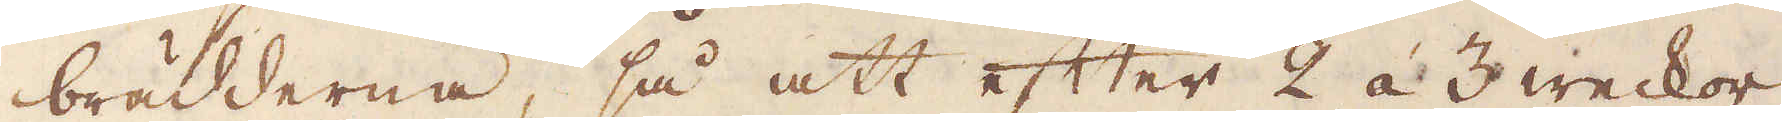brädderna, så att efter 2 á 3 weckor
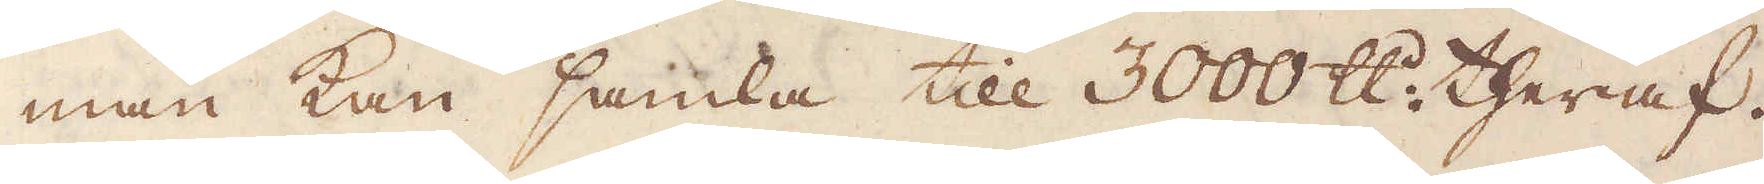man kan samla till 3000 skålpund theraf.
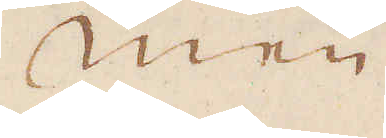Men
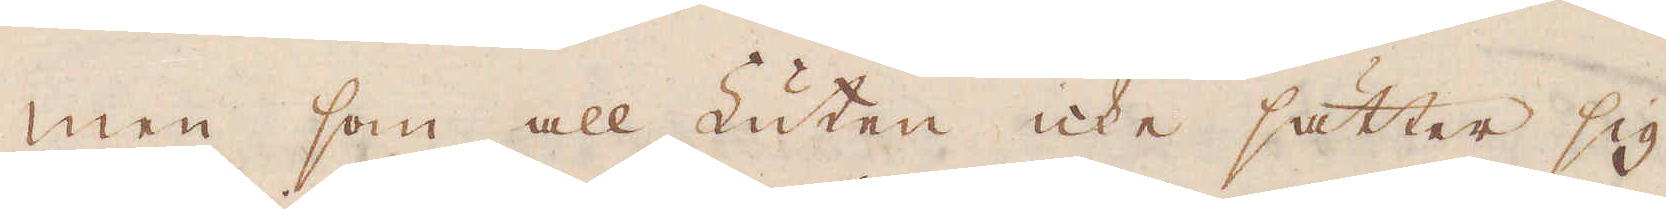men som all Luten icke sätter sig
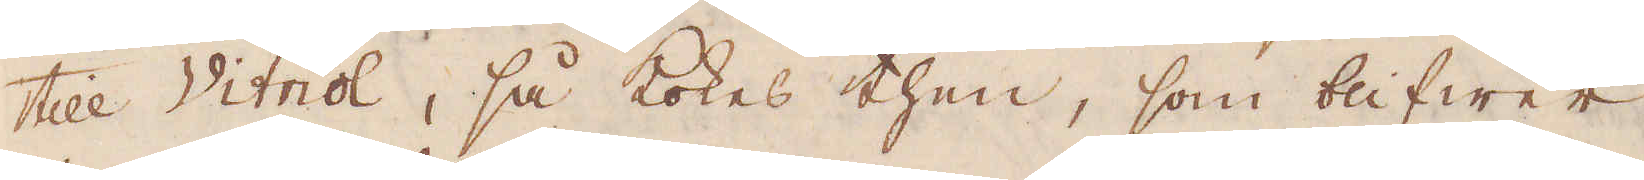till Vitriol, så kokes then, som blifwer
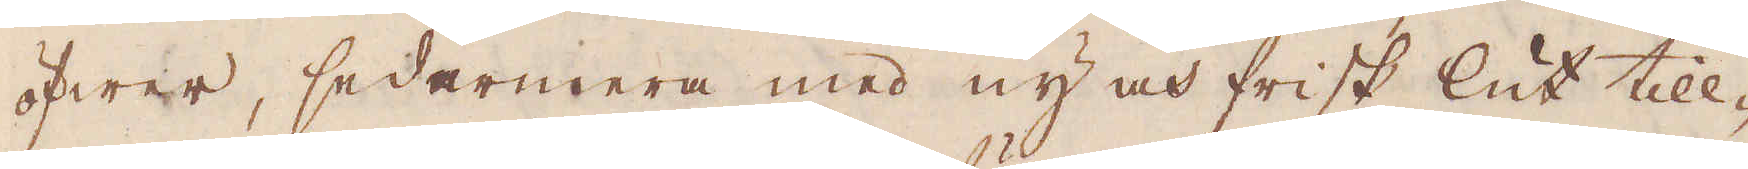öfwer, sedarmera med ny och frisk lut till-
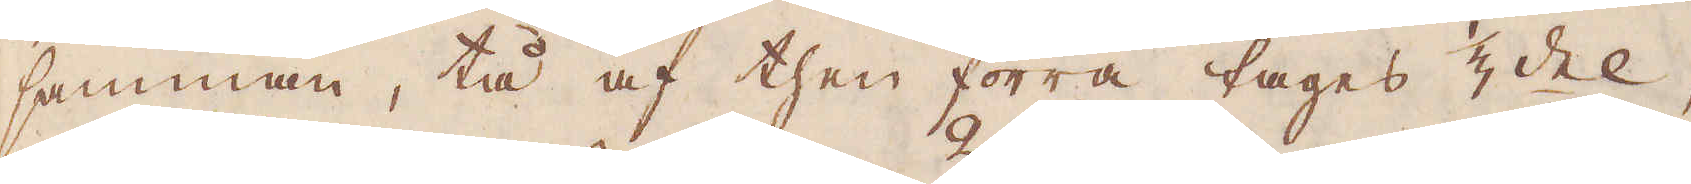samman, tå af then förra tages 1/3 del,
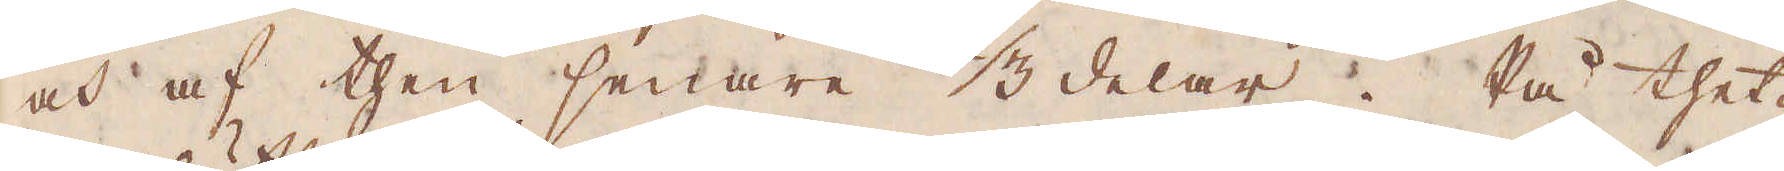och af then senare 2/3 delar. På thet-
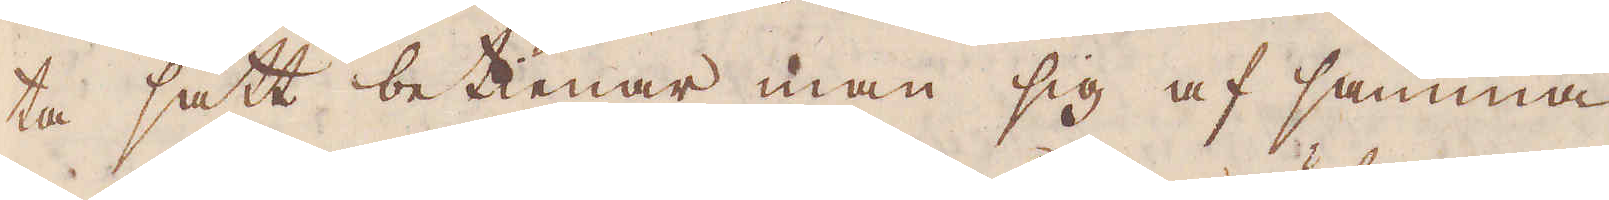ta sätt betienar man sig af samma
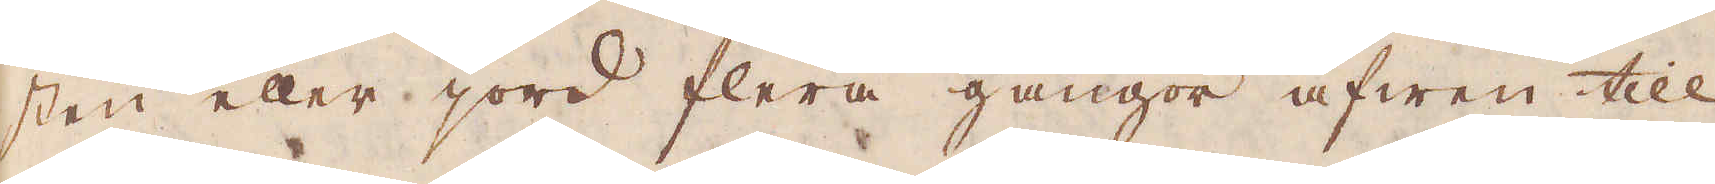sten eller jord flera gångor äfwen till
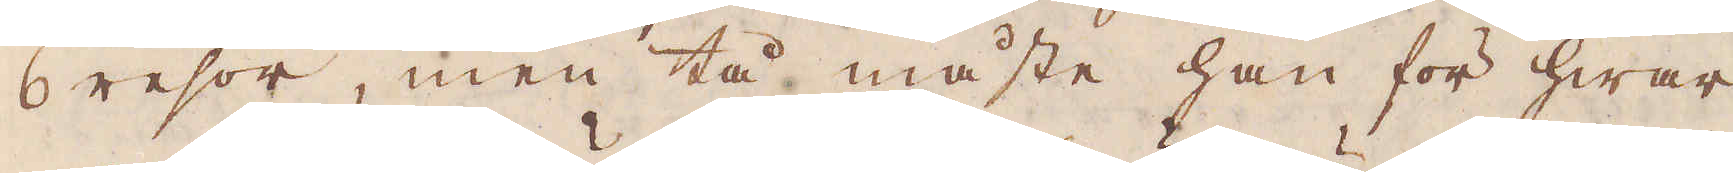6 resor, men tå måste han för hwar
